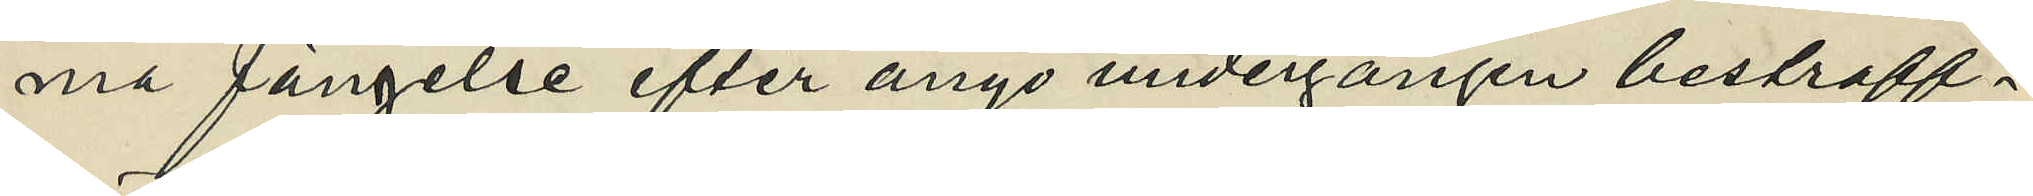ma fängelse efter ånyo undergången bestraff¬
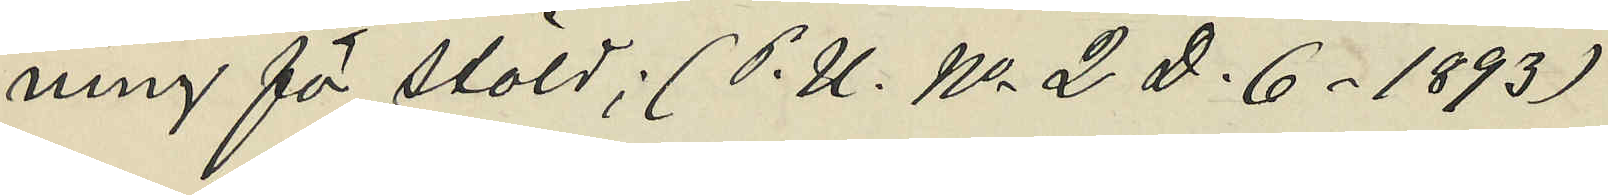ning för stöld; (P. U. No 2 D. 6. 1893)
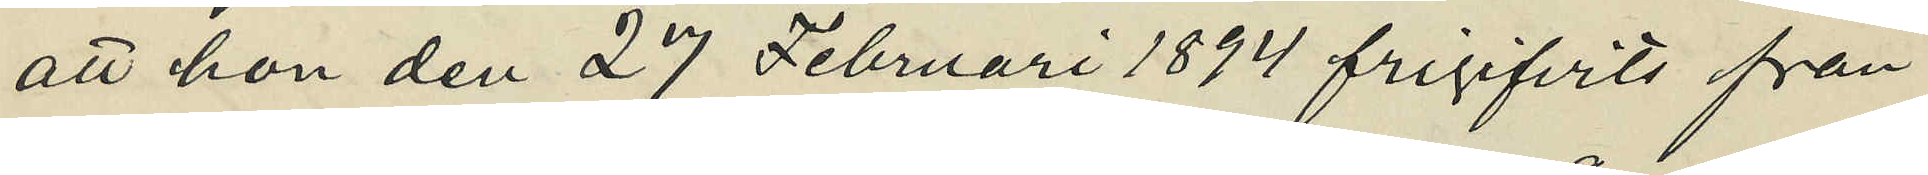att hon den 27 Februari 1894 frigifvits från
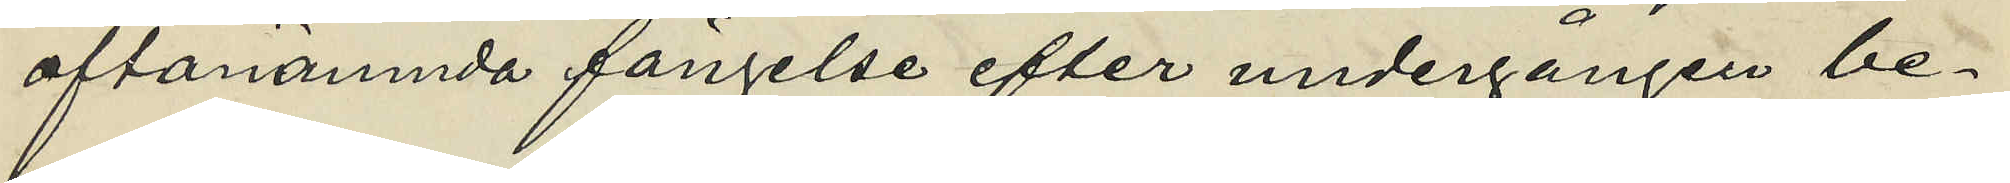oftanämnda fängelse efter undergången be¬
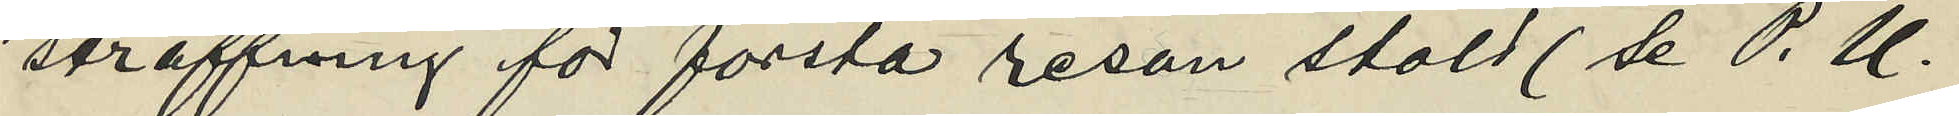straffning för första resan stäld (se P.U.
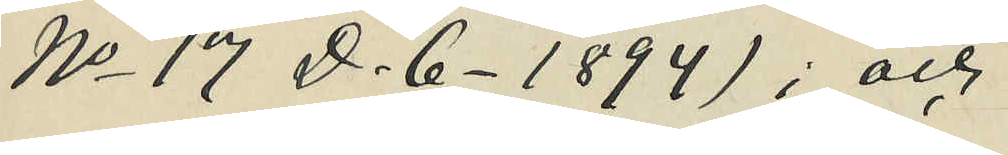No 17 D. 6. 1894); och
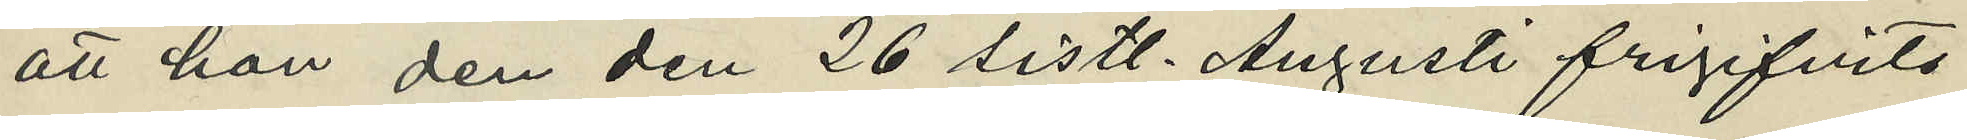att hon den den 26 sistl. Augusti frigifvits
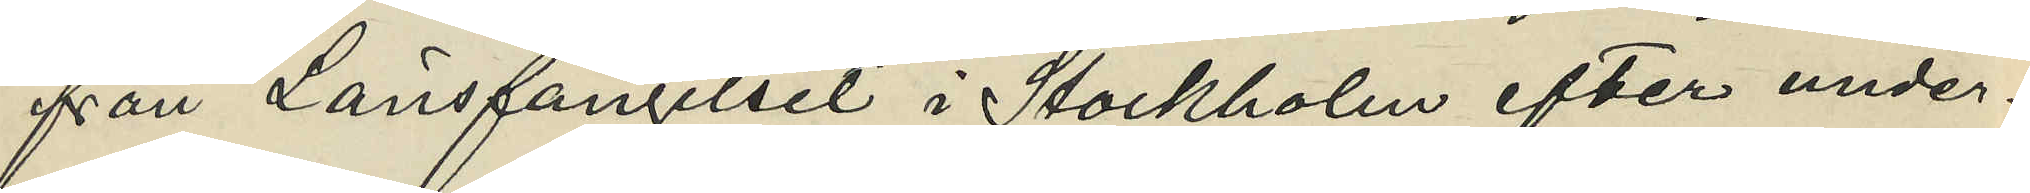från Länsfängelset i Stockholm efter under¬
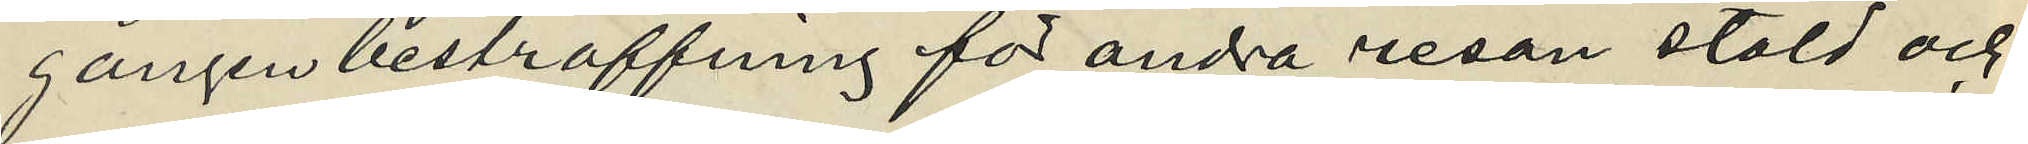gången bestraffning för andra resan stöld och
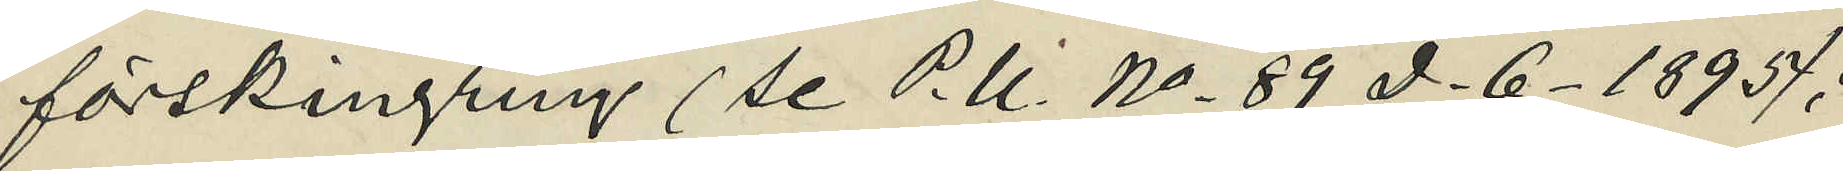förskingring (se P.U. No 89 D.6. 1895);
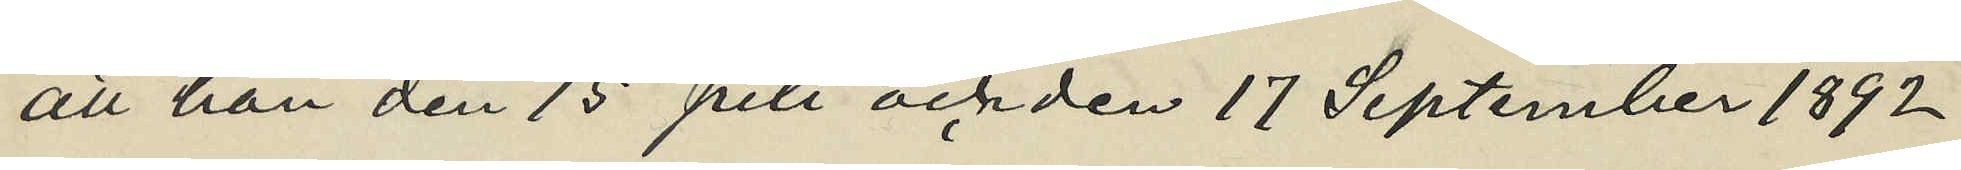att hon den 15 Juli och den 17 September 1892
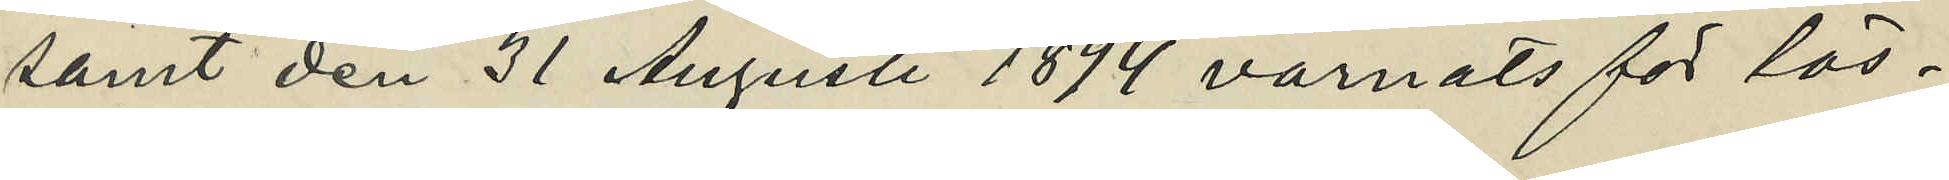samt den 31 Augusti 1894 varnats för lös¬
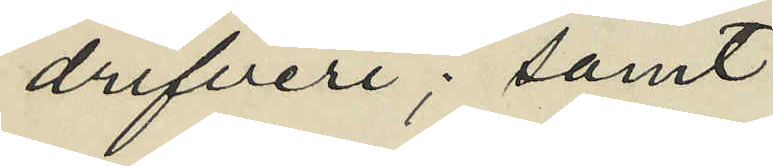drifveri; samt
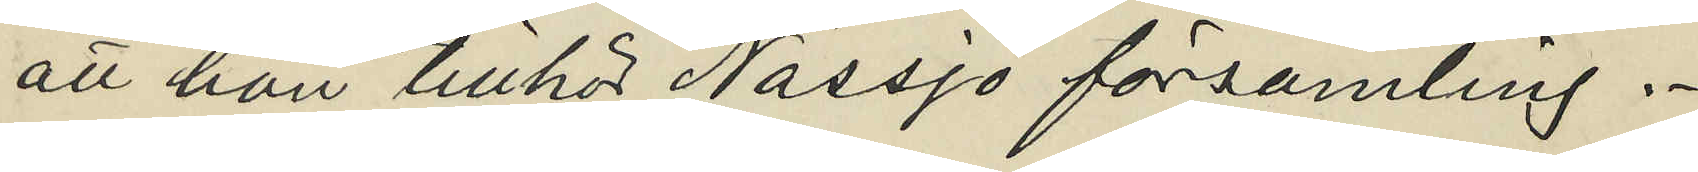att hon tillhör Nässjö församling.
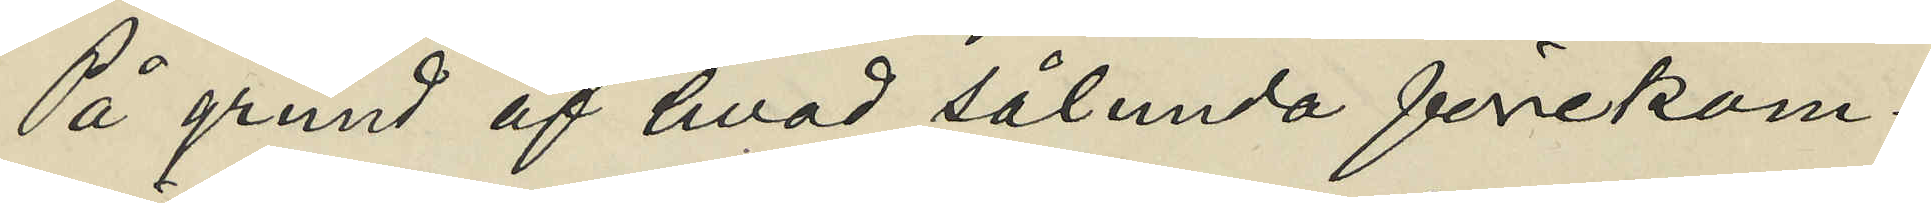På grund af hvad sålunda förekom¬
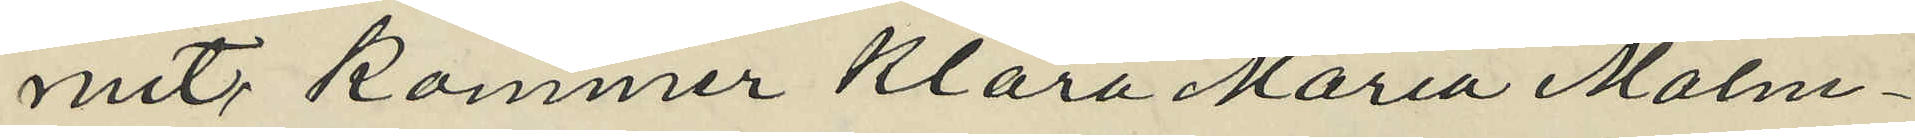mit, kommer Klara Maria Malm¬
